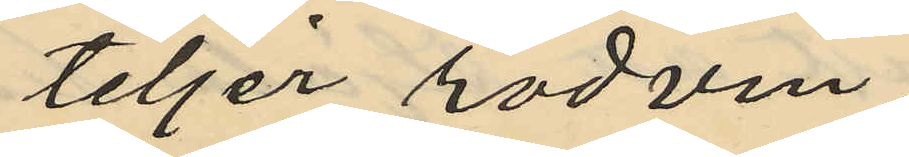teljer rödvin;
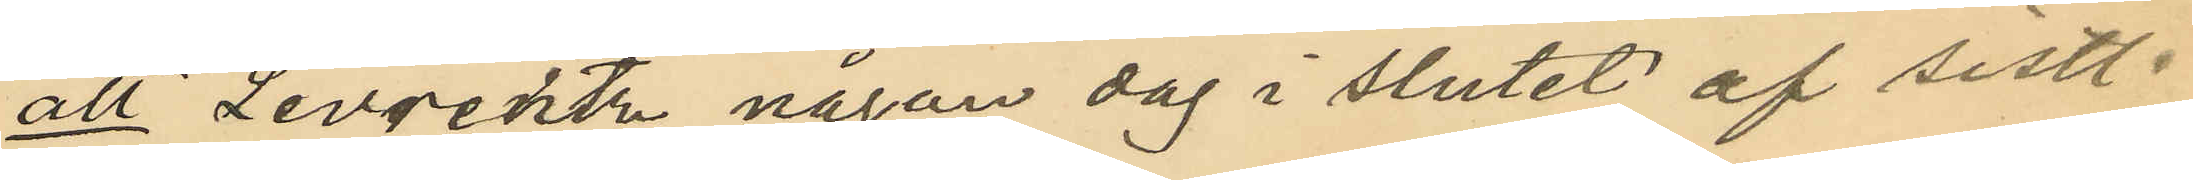att Levrentz någon dag i slutet af sistl.
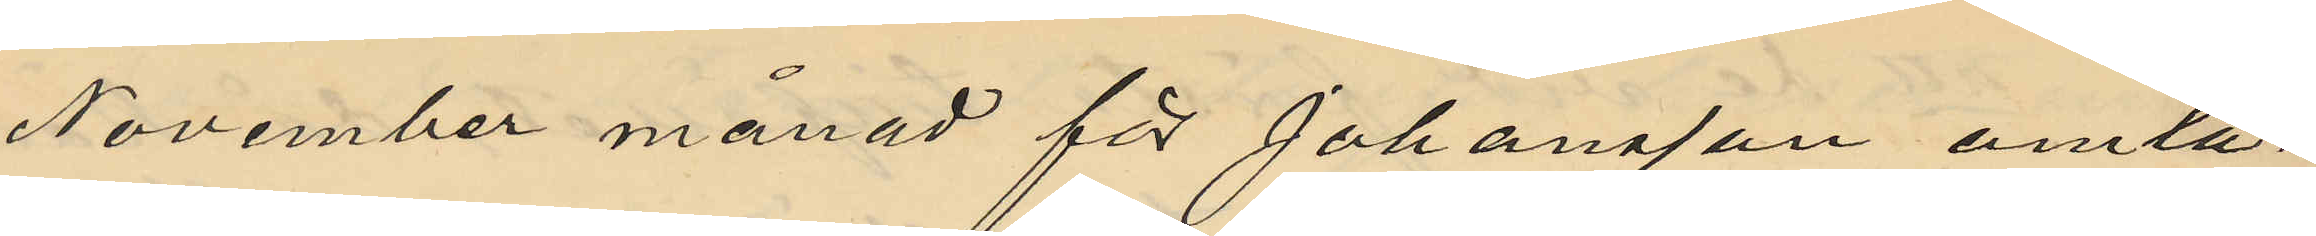November månad för Johansson omta¬
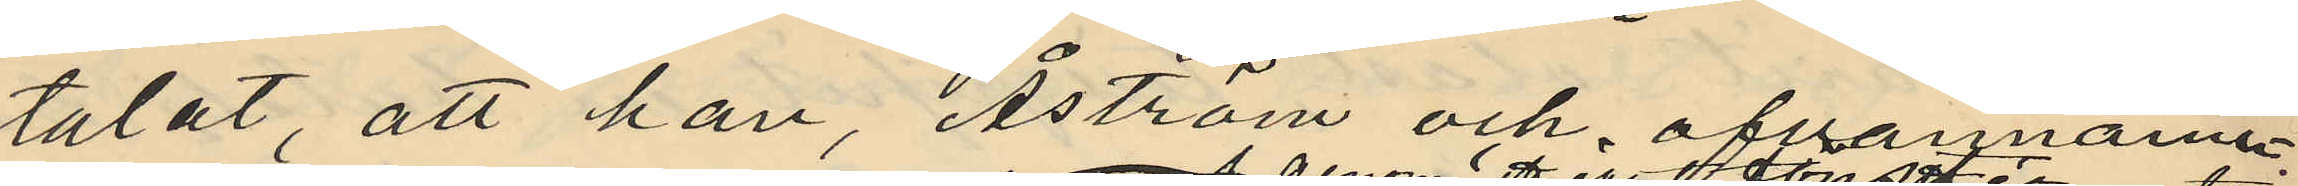talat, att han, Åström och ofvannämn¬
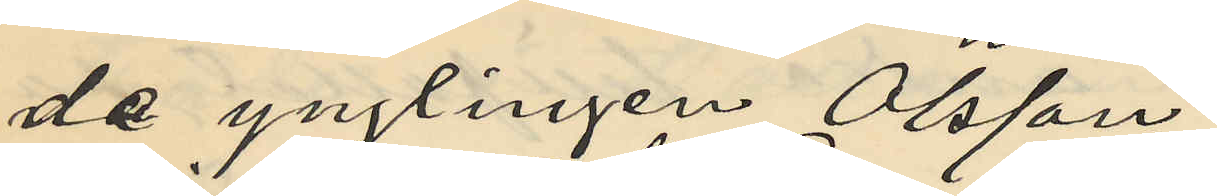de ynglingen Olsson
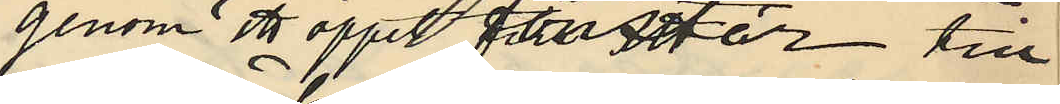genom ett öppet fönster till
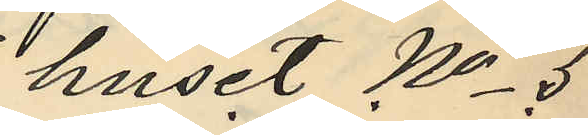huset No 5
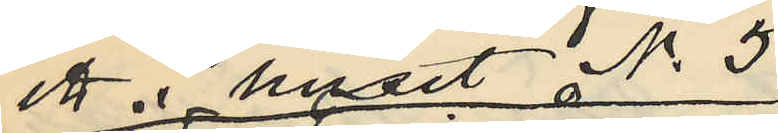ett i huset No 5
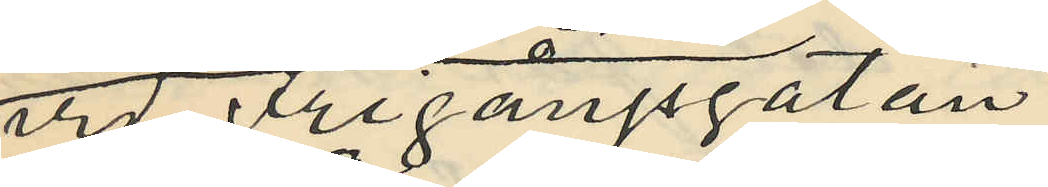vid Frigångsgatan
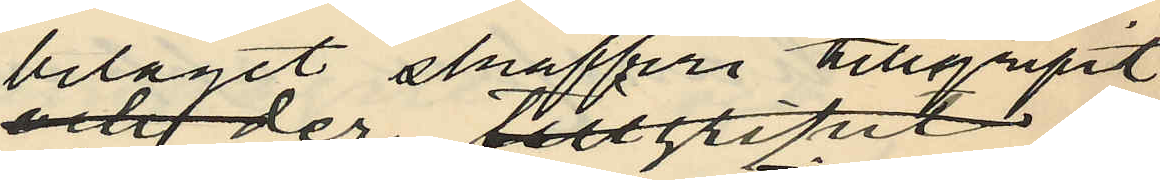beläget skafferi tillgripit
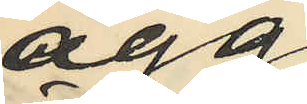ägg
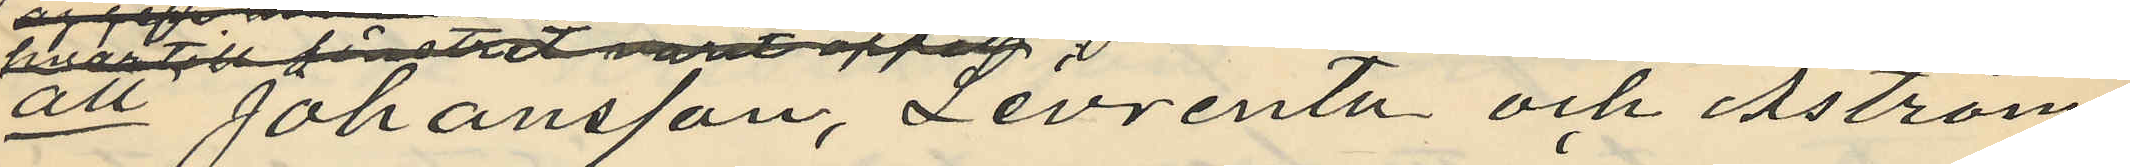att Johansson, Levrentz och Åström
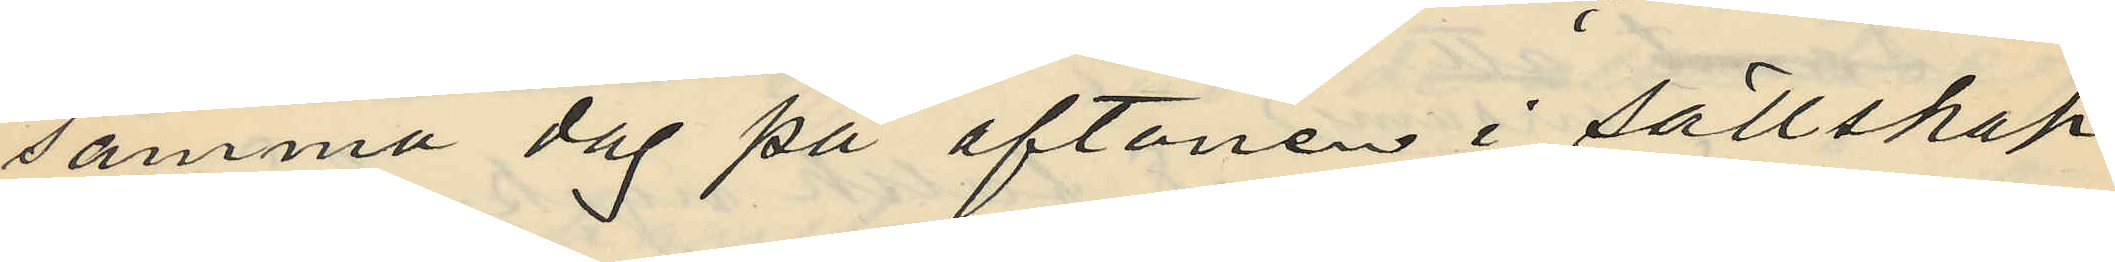samma dag på aftonen i sällskap
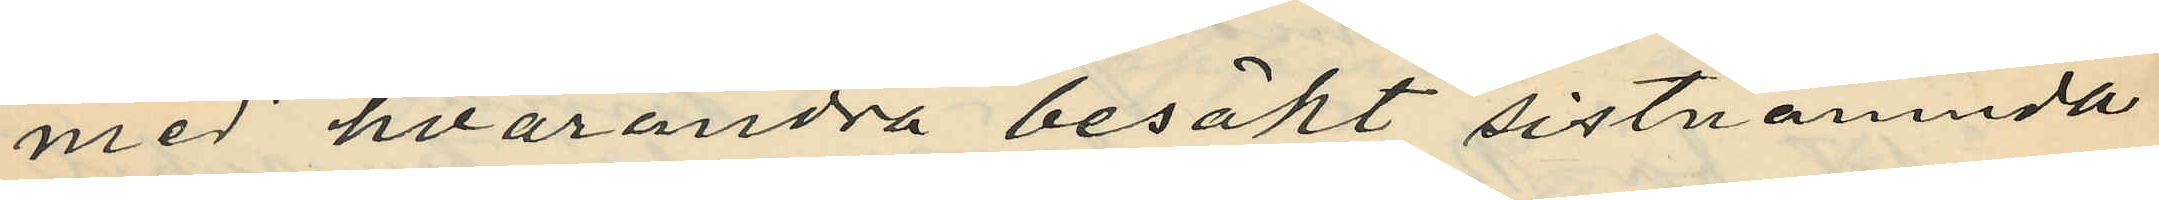med hvarandra besökt sistnämnda
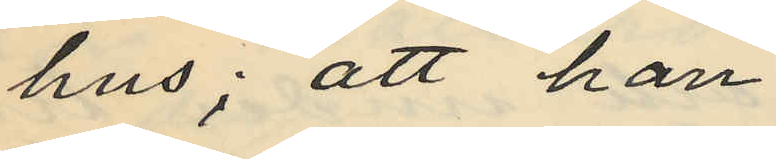hus; att han
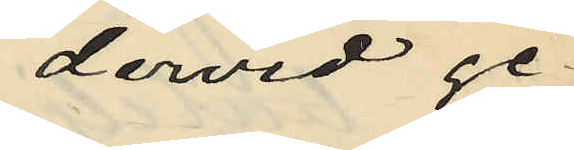dervid ge¬
